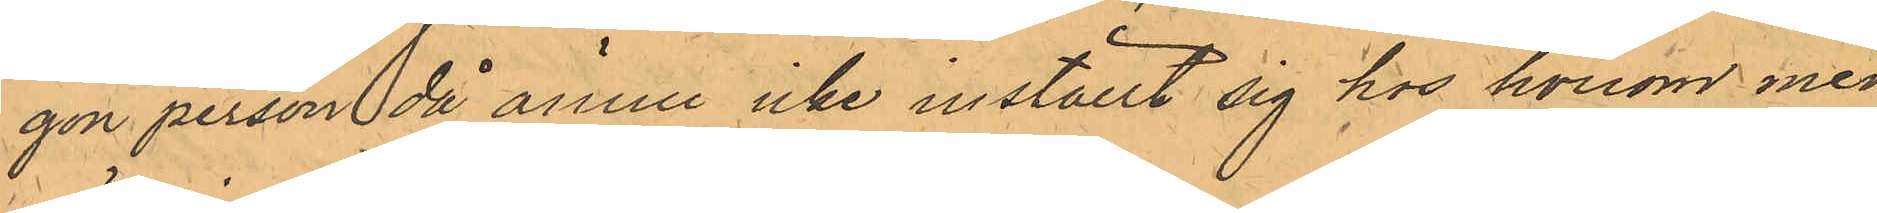gon person då ännu icke inställt sig hos honom med
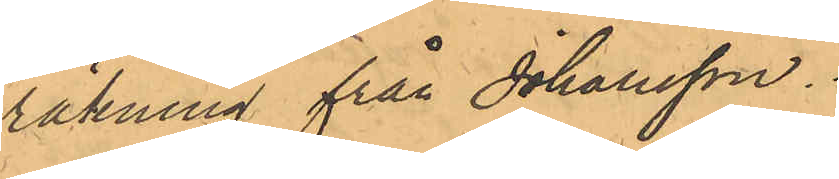räkning från Johansson.
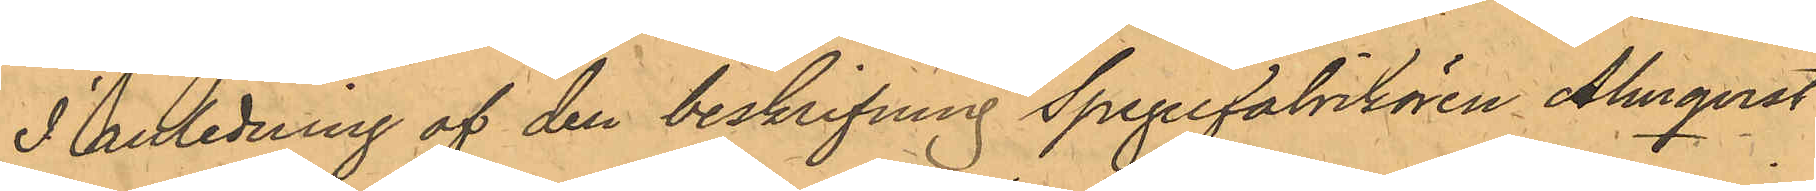I anledning af den beskrifning Spegelfabrikören Almqvist
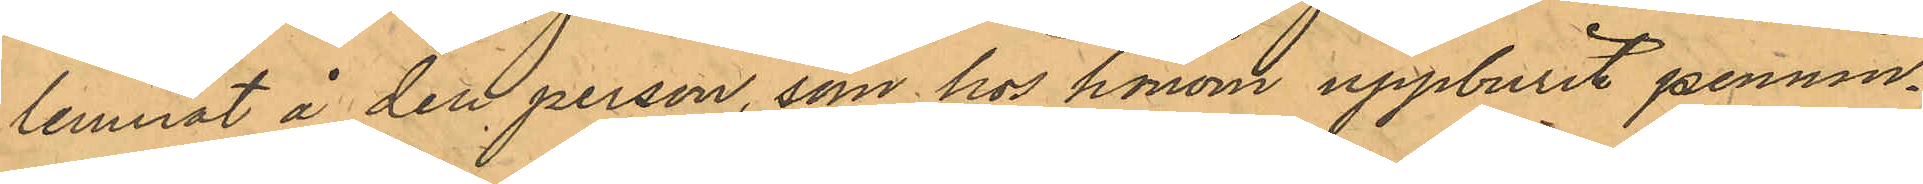lemnat å den person, som hos honom uppburit pennin¬
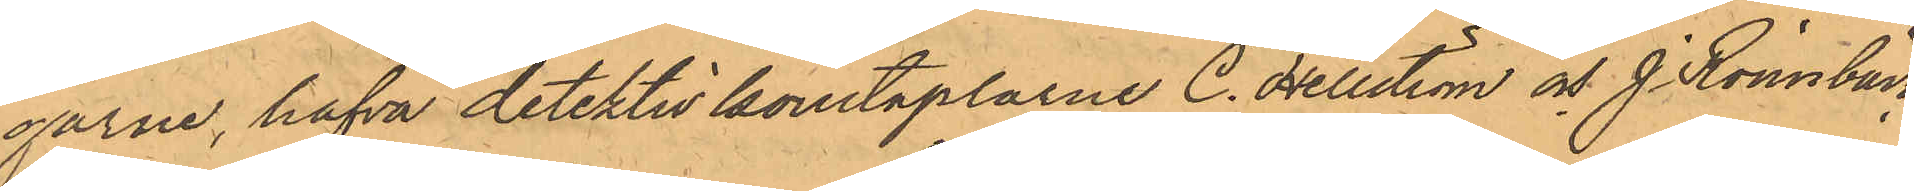garne, hafva detektivkonstaplarne C. Hellström och J. Rönnbäck
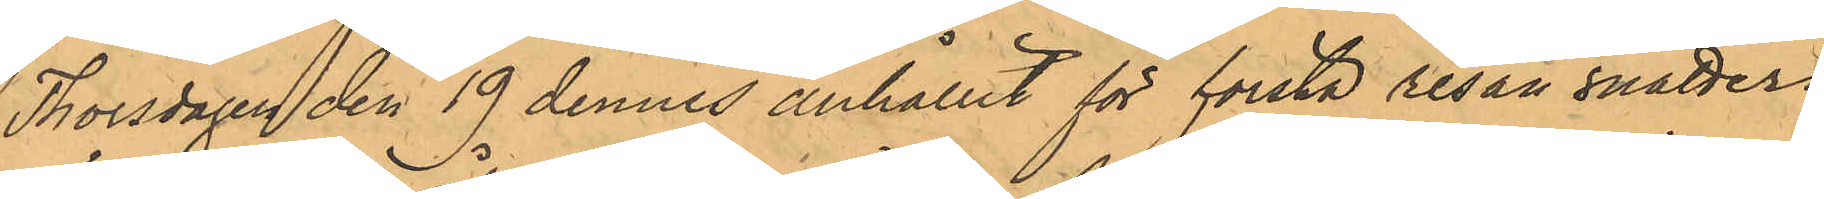Thorsdagen den 19 dennes anhållit för första resan snatteri
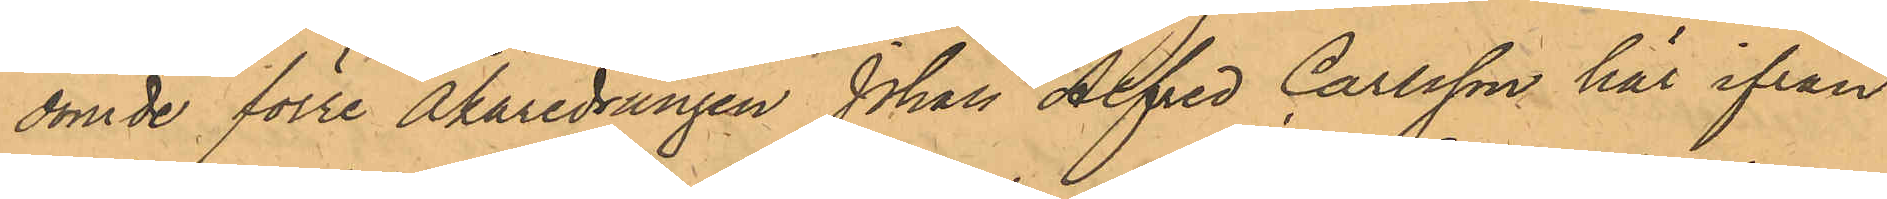dömde förre Åkaredrängen Johan Alfred Carlsson här ifrån
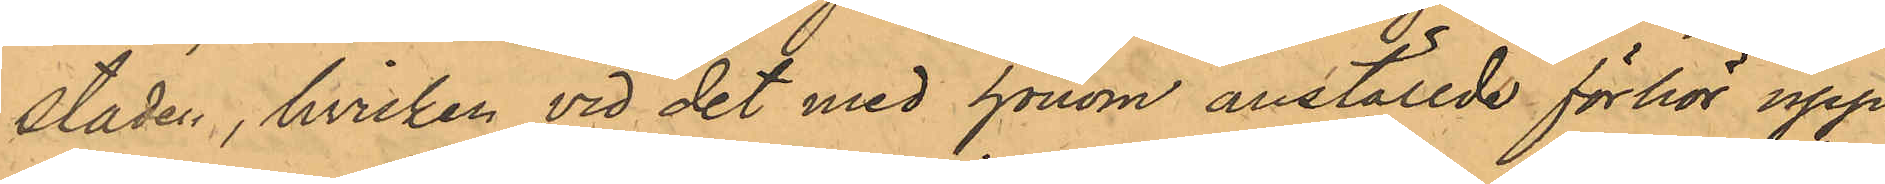staden, hvilken vid det med honom anställde förhör upp¬
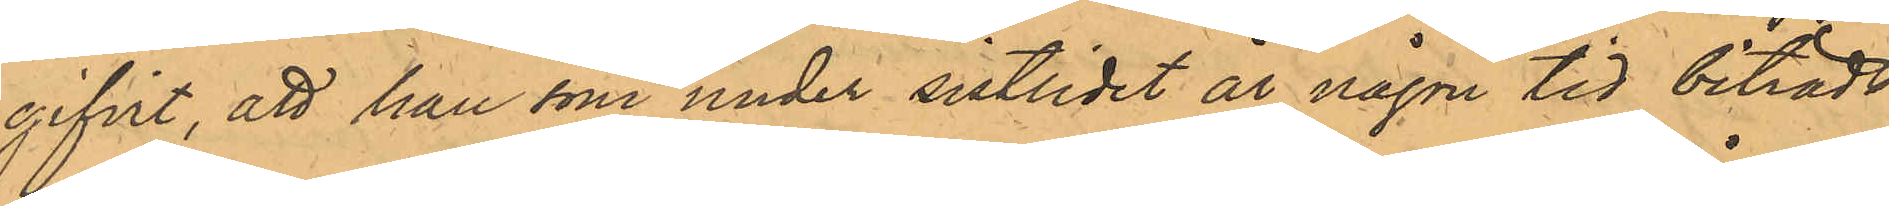gifvit, att han som under sistlidet år någon tid biträdt
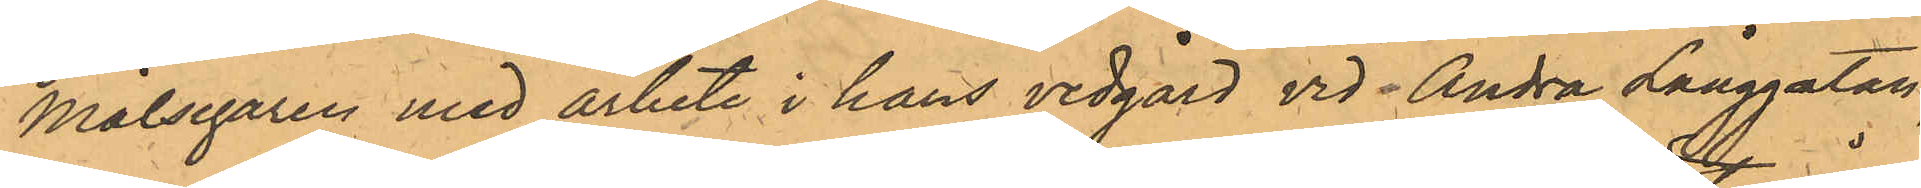Målsegaren med arbete i hans vedgård vid Andra Långgatan
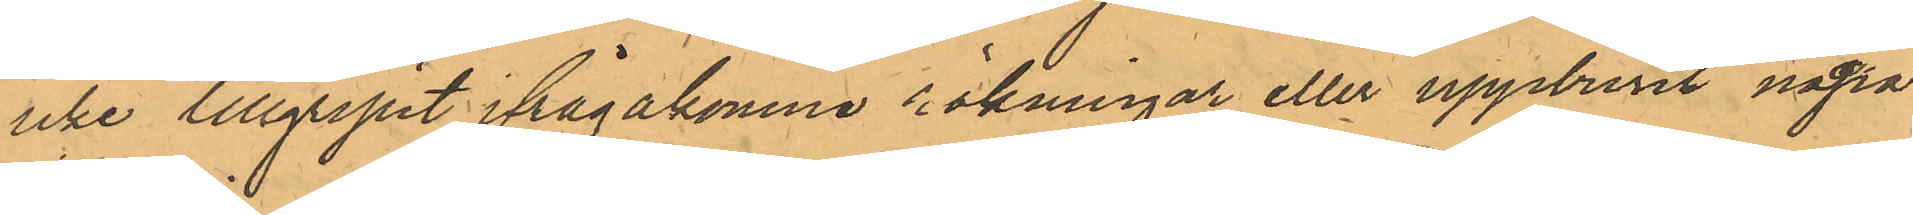icke tillgripit ifrågakomne räkningar eller uppburit några
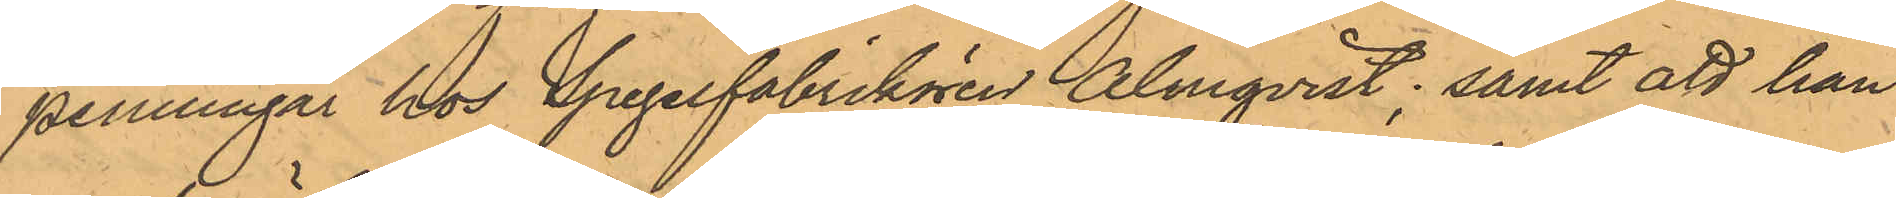penningar hos Spegelfabrikören Almqvist; samt att han
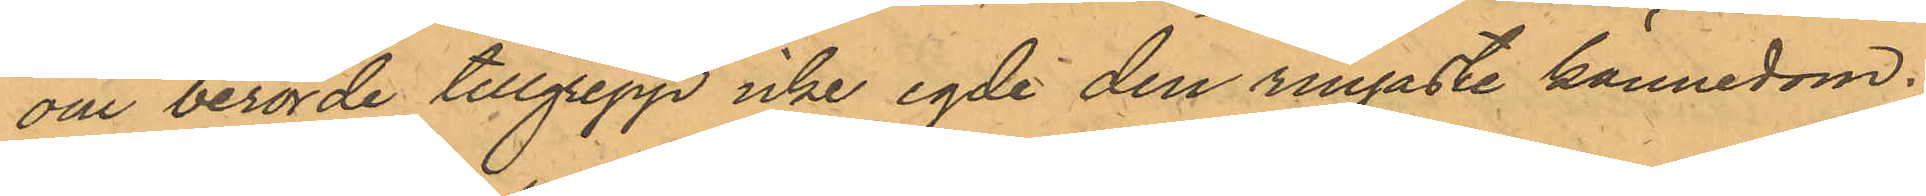om berörde tillgrepp icke egde den ringaste kännedom.
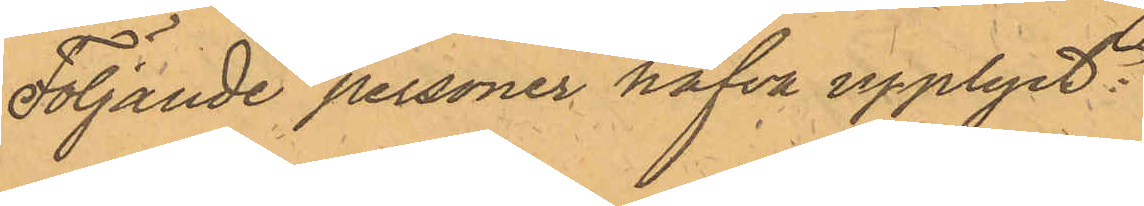Följande personer hafva upplyst:
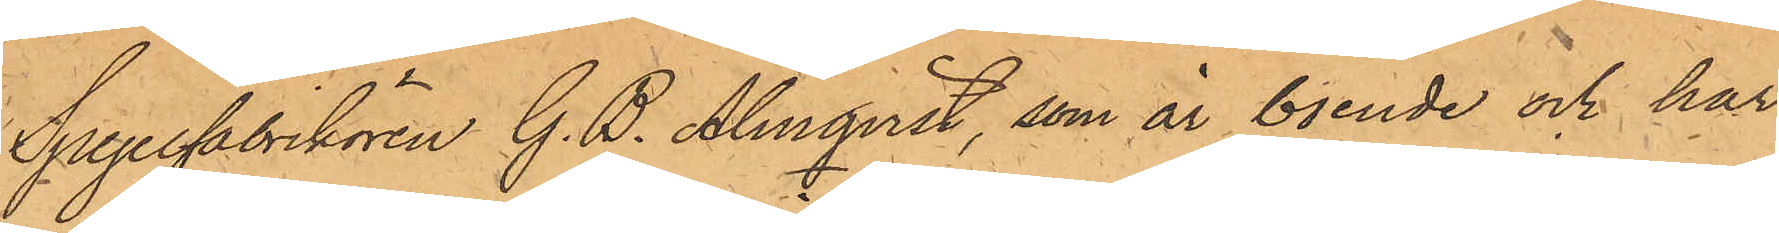Spegelfabrikören G. B. Almqvist, som är boende och har
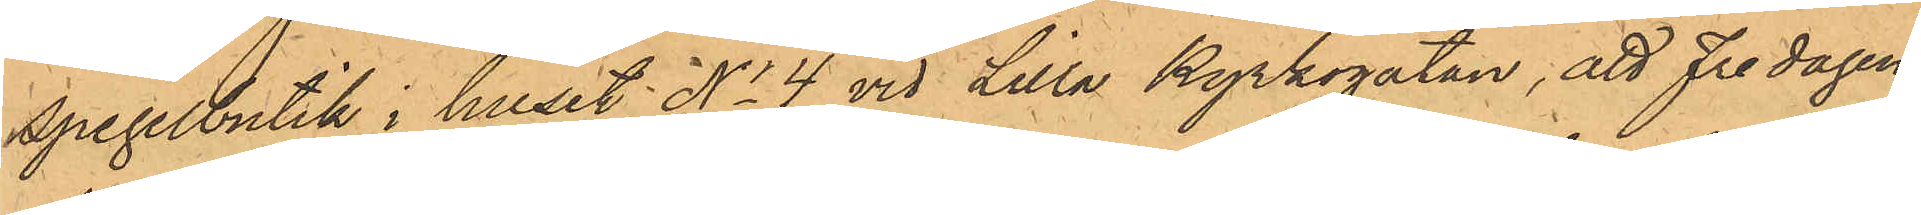Spegelbutik i huset No 4 vid Lilla Kyrkogatan, att Fredagen
